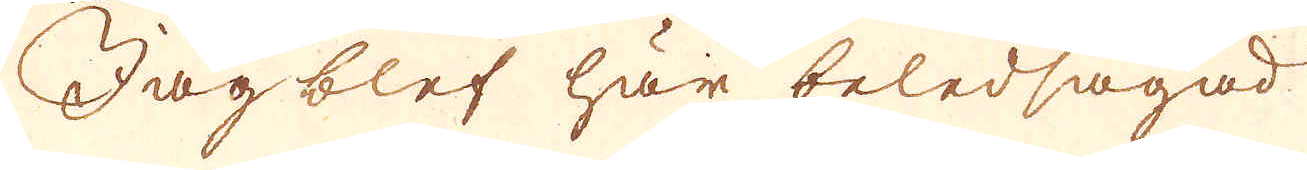Jag blef här beledsagad.
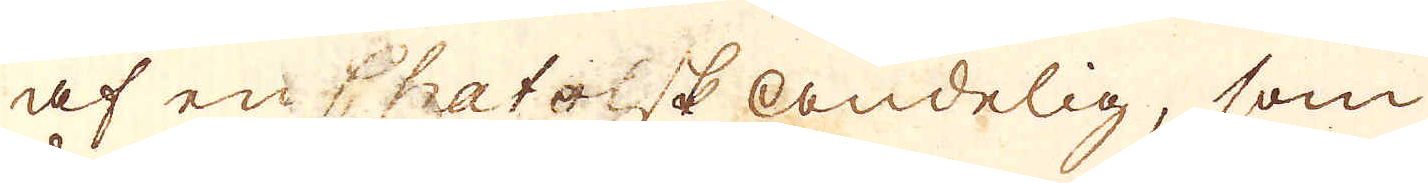af en Chatolsk Andelig, som
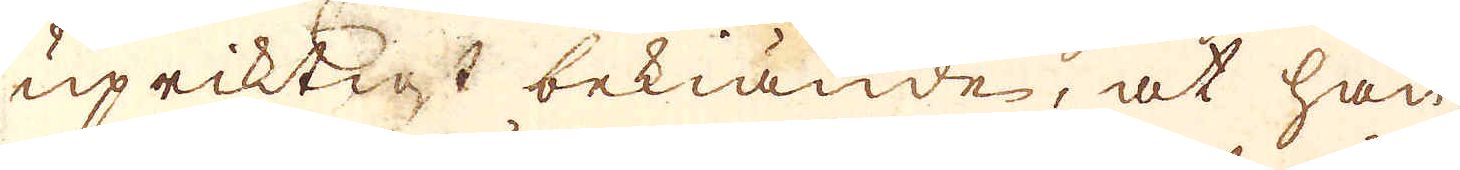upriktigt bekiände, at han
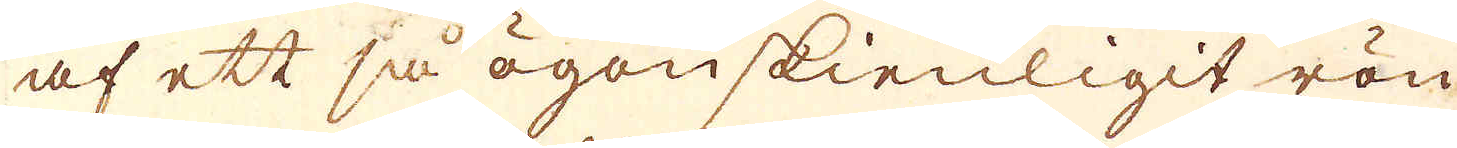af ett så ögonskienligit rön
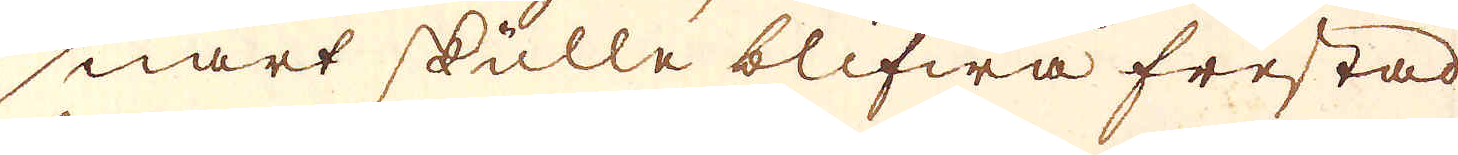snart skulle blifwa frestad
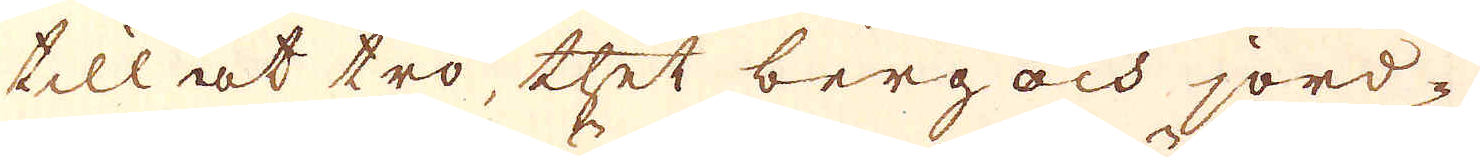till at tro, thet berg och jord-
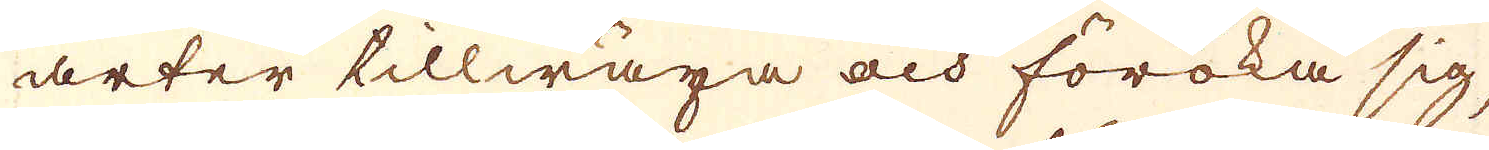arter tillwäxa och föröka sig,
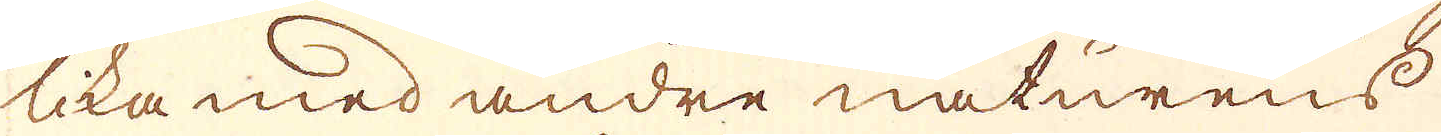lika med andre naturens
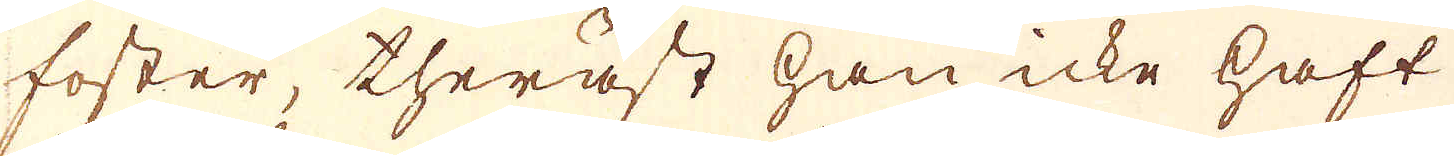foster, theräst han icke haft
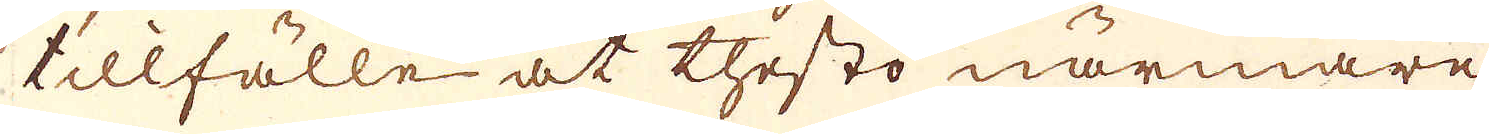tillfälle at thesto närmare
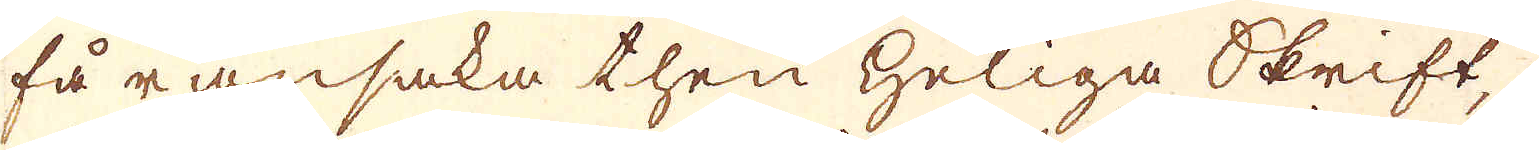få ransaka then heliga Skrift,
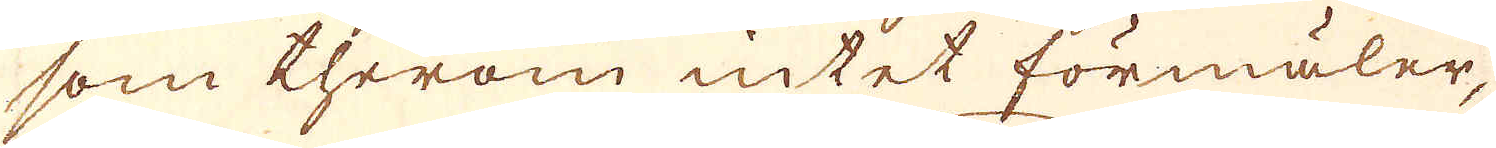som therom intet förmäler,
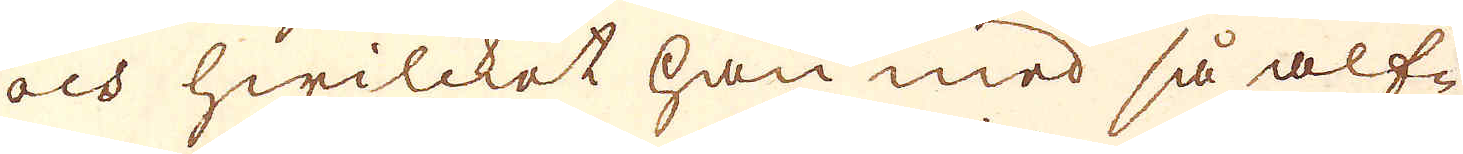och hwilcket han med så alf-
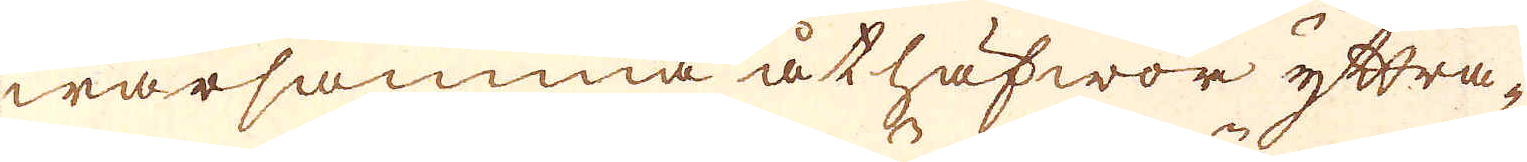warsamma åthäfwor yttra-
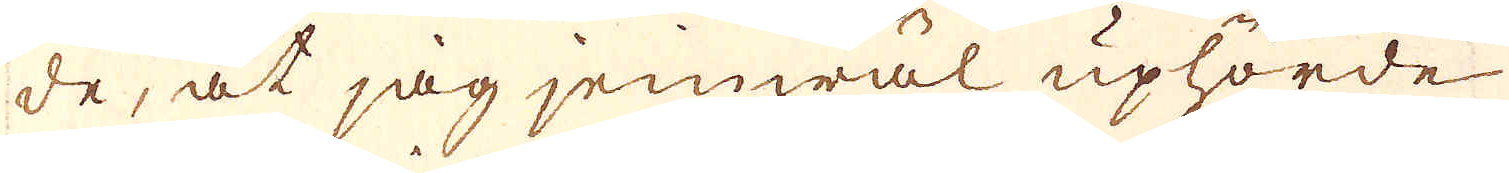de, at jag jemwäl uphörde
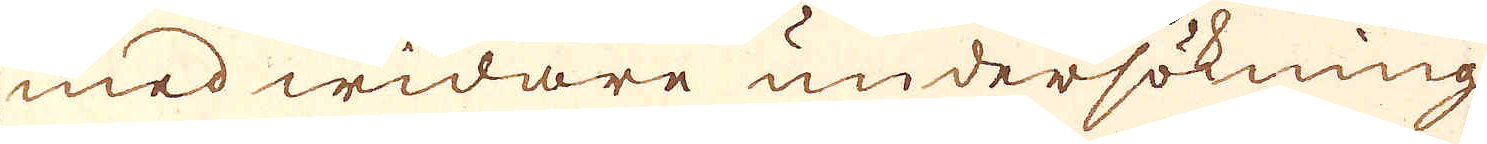med widare undersökning
